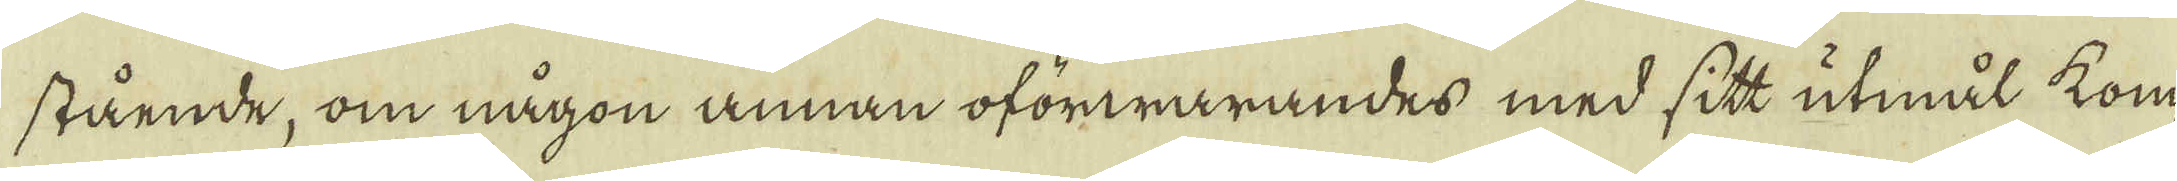stående, om någon annan oförwarandes med sitt utmål kom-
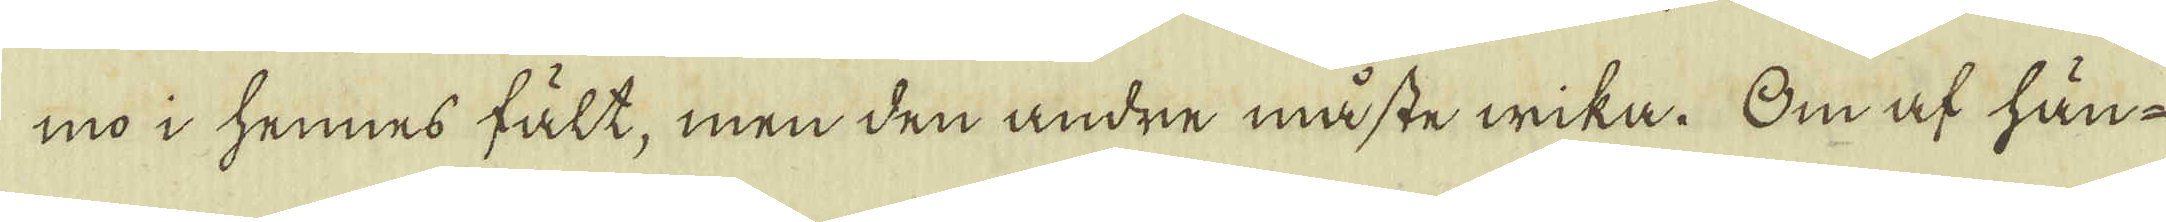mo i hennes fält, men den andre måste wika. Om af hän-
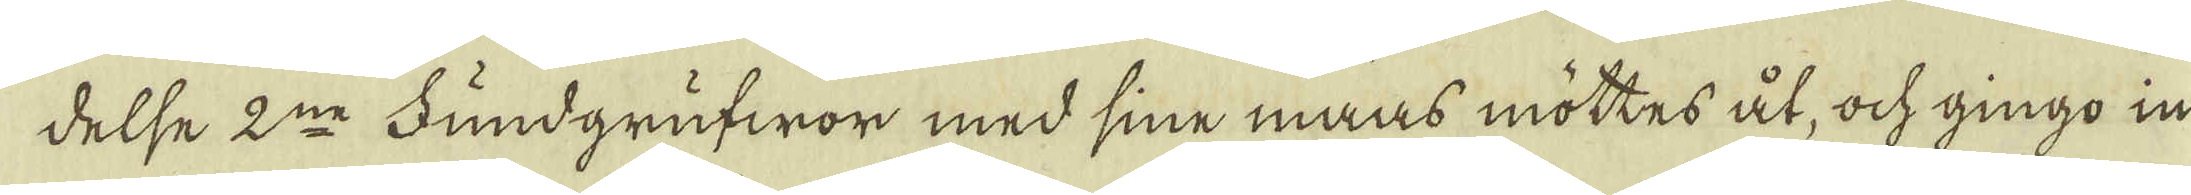delse 2:ne Fundgrufwor med sine maas möttes åt, ock gingo in
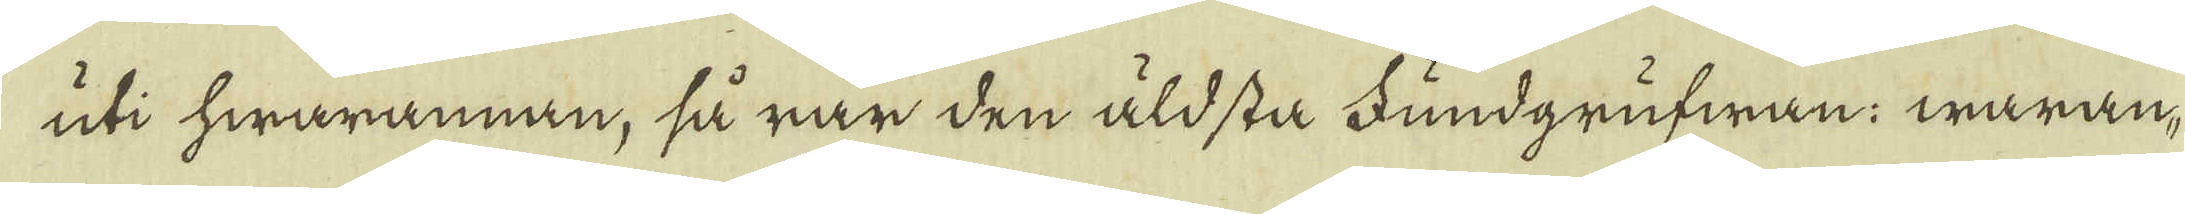uti hwarannan, så rår den äldsta Fundgrufwan; waran-
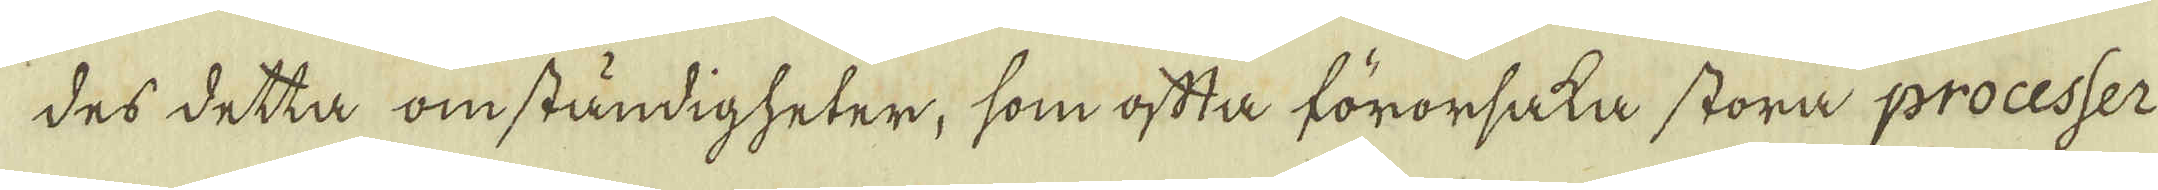des detta omständigheter, som oftta förorsaka stora processer
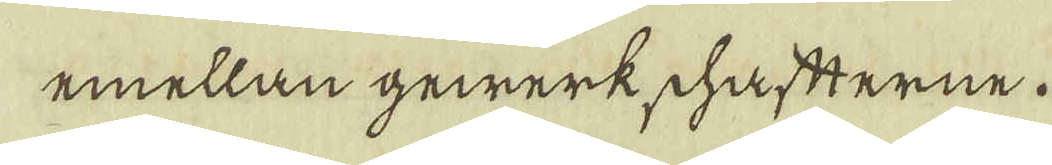emellan gewärkschaftterne.
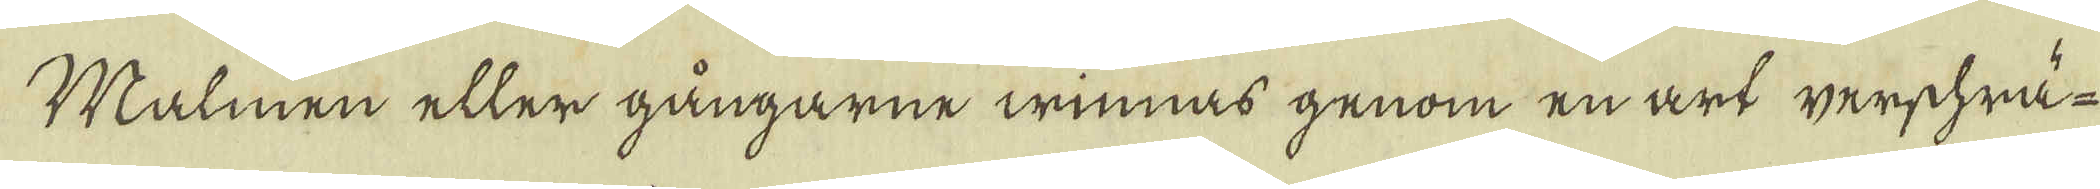Malmen eller gångarne winnas genom en art werschrä-
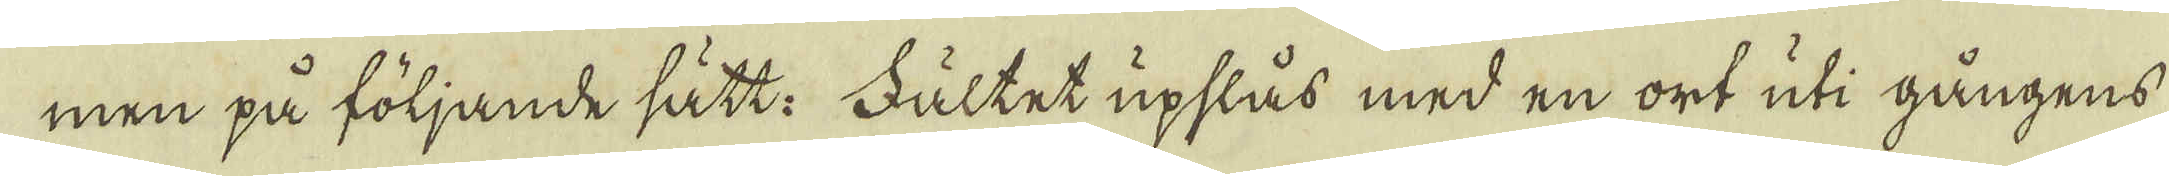men på följande sätt: Fältet upslås med en ort uti gångens
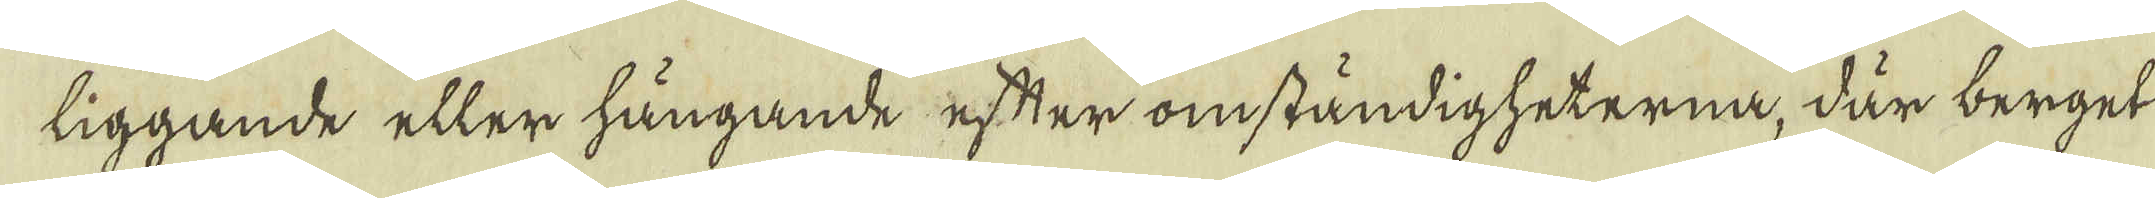liggande eller hängande efter omständigheterna, där berget
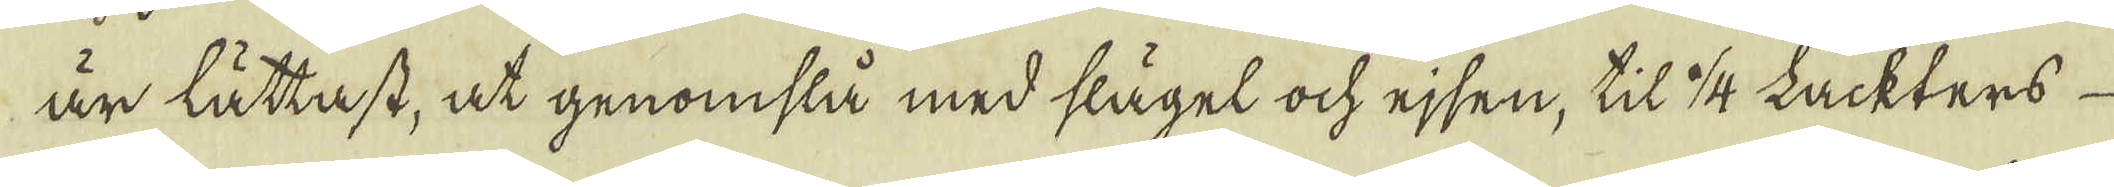är lättast, at genomslå med slägel och ejsen, til 1/4 Lachters
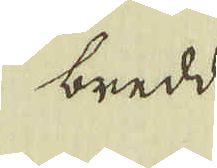bredd
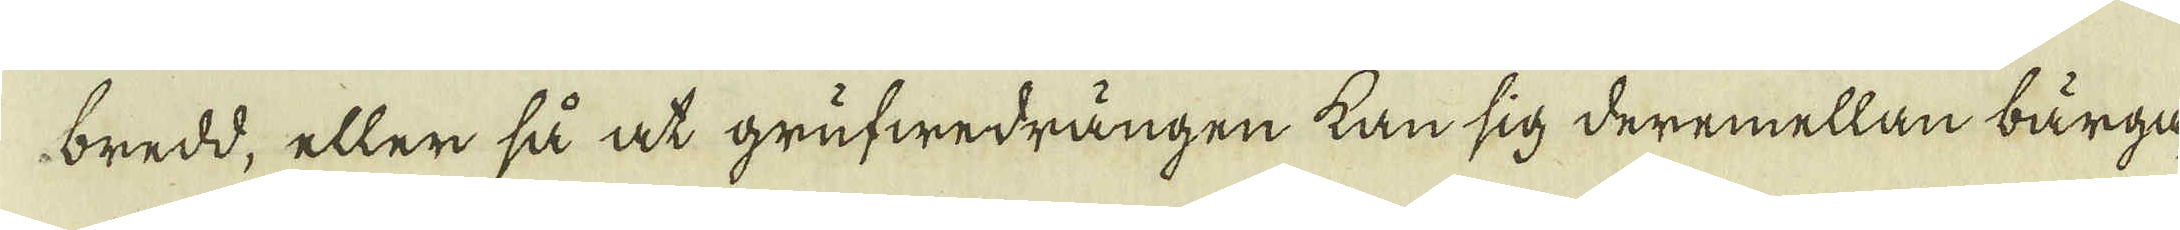bredd, eller så at grufwedrängen kan sig deremellan bärga,
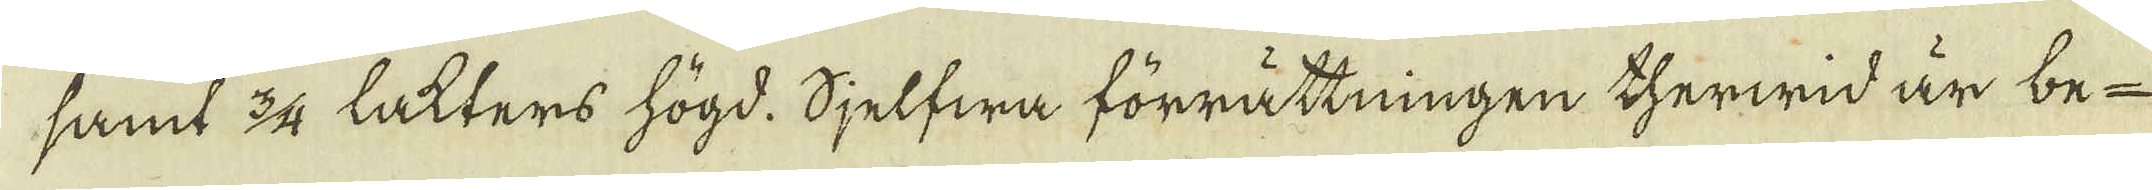samt 3/4 lakters högd. Sjelfwa förrättningen therwid är be-
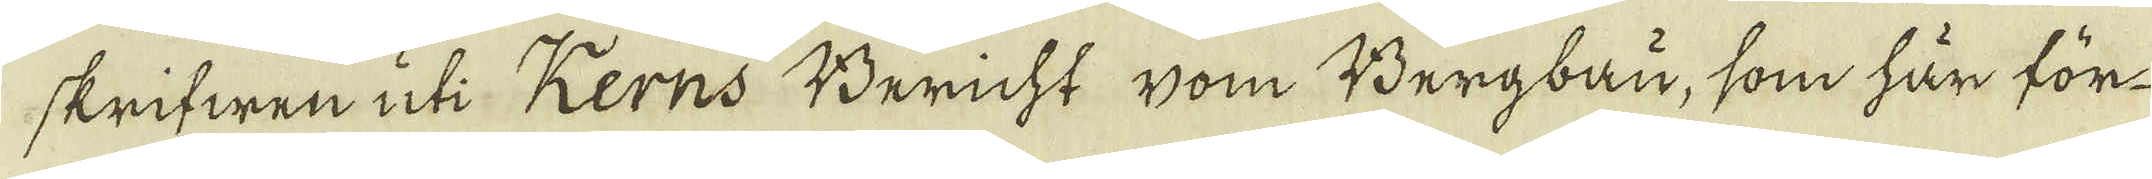skrifwen uti Kerns Bericht vom Bergbau, som här för
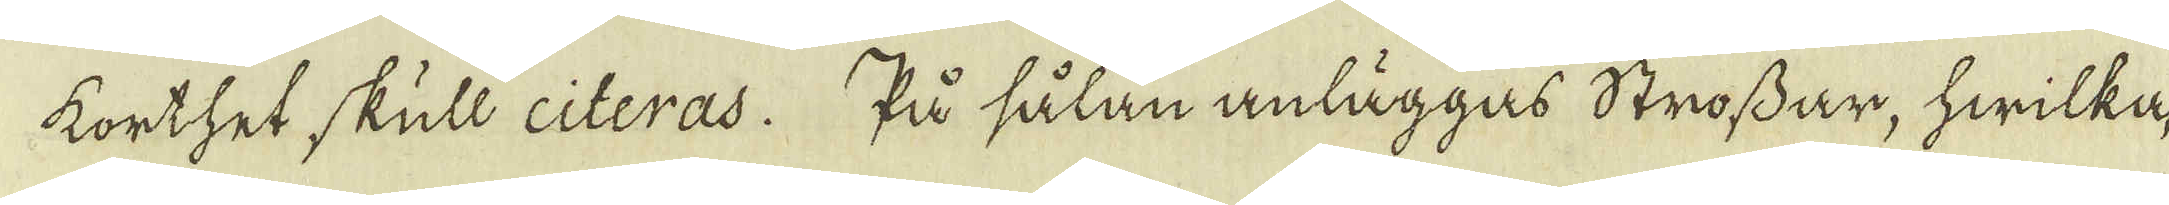korthet skull citeras. På sålan anläggas Strossar, hwilka,
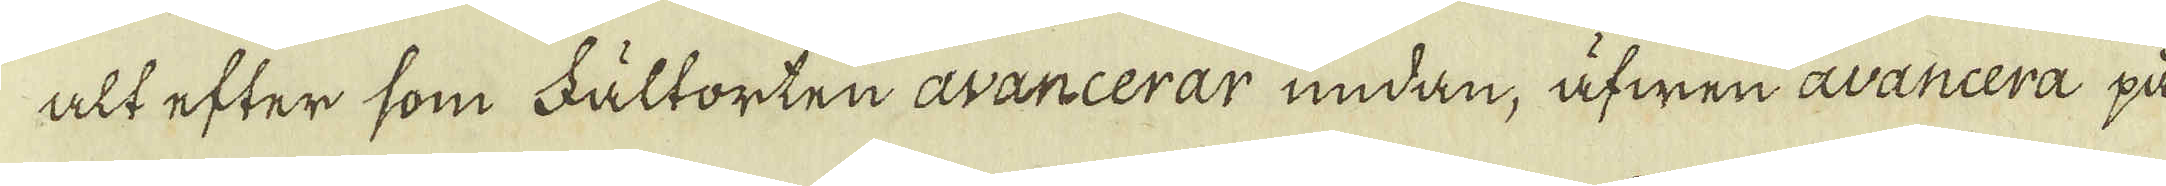alt efter som Fältorten avancerar undan, äfwen avancera på
